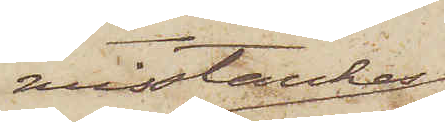misstänkes
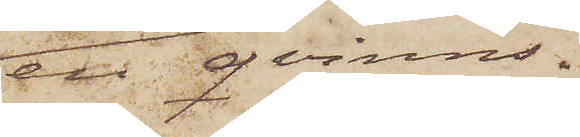en qvinns¬
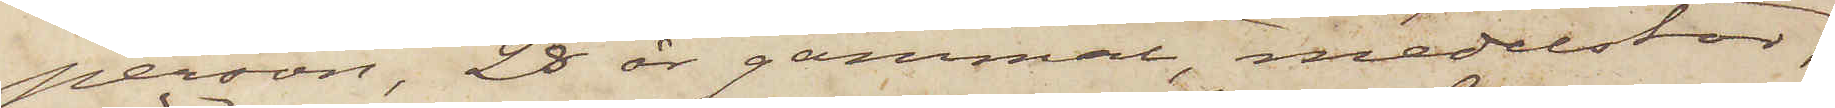person, 28 år gammal, medelstor,
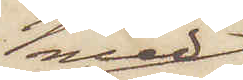med
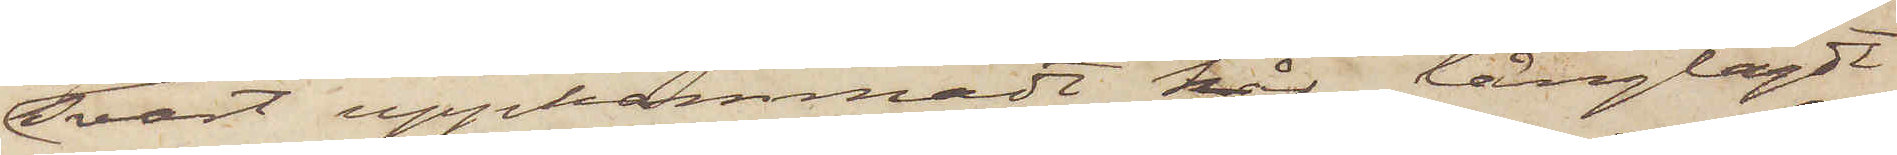svart uppkammadt hår, långlagdt
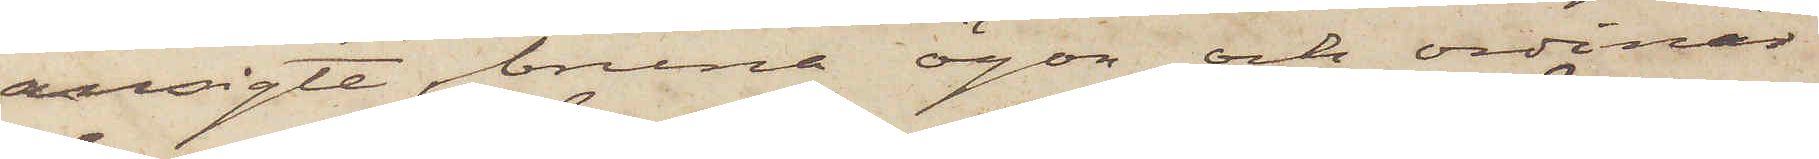ansigte, bruna ögon och ordinär
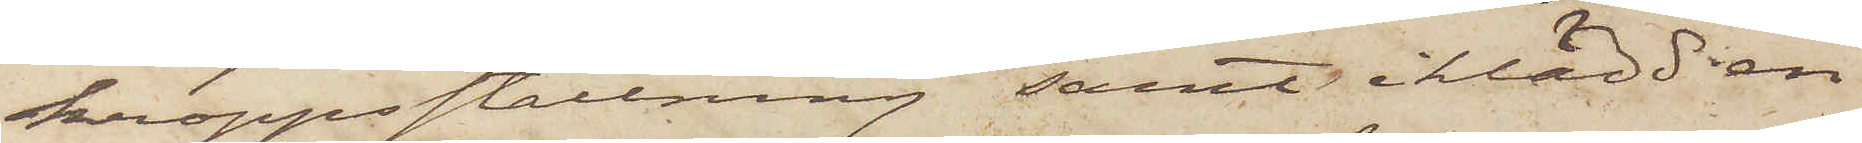kroppsställning samt iklädd en
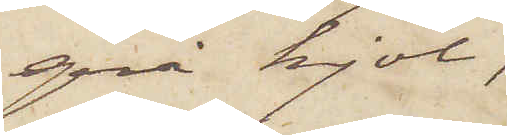grå kjol,
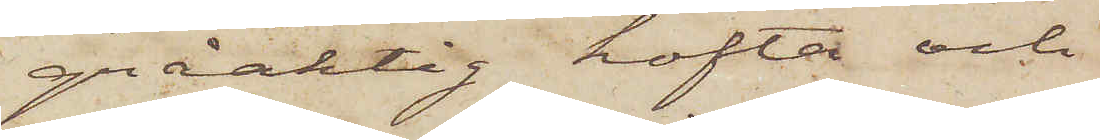gråaktig kofta och
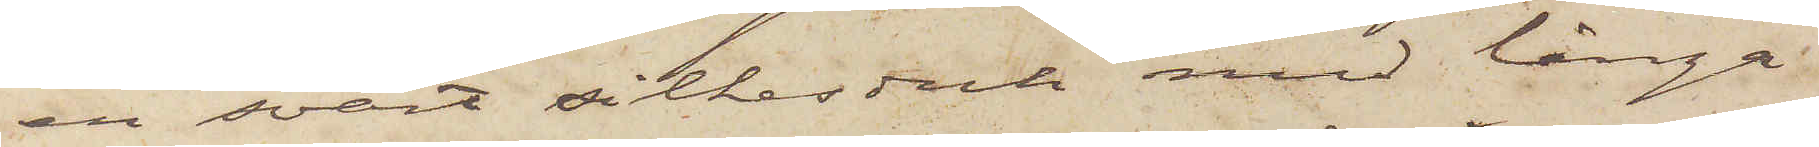en svart silkesduk med långa
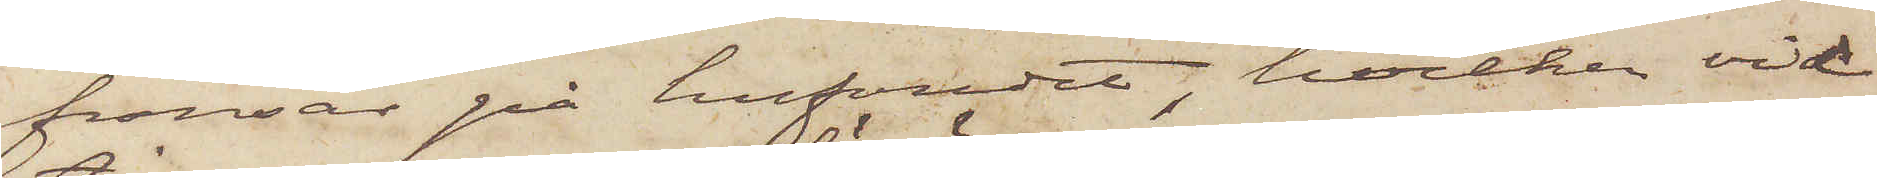fransar på hufvudet, hvilken vid
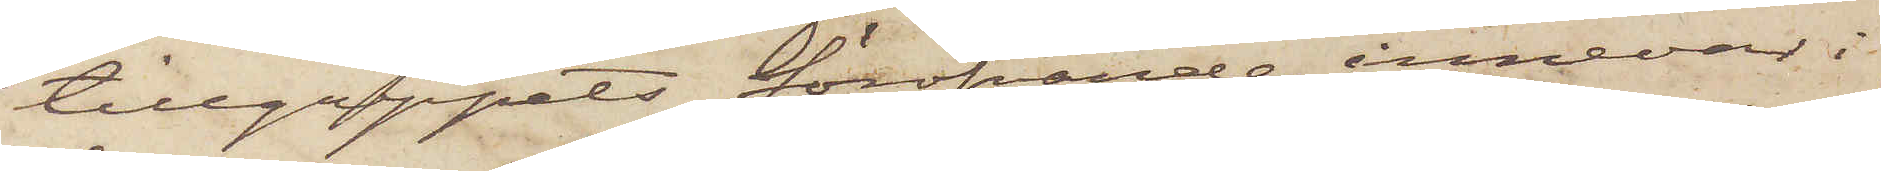tillgreppets föröfvande innevar i
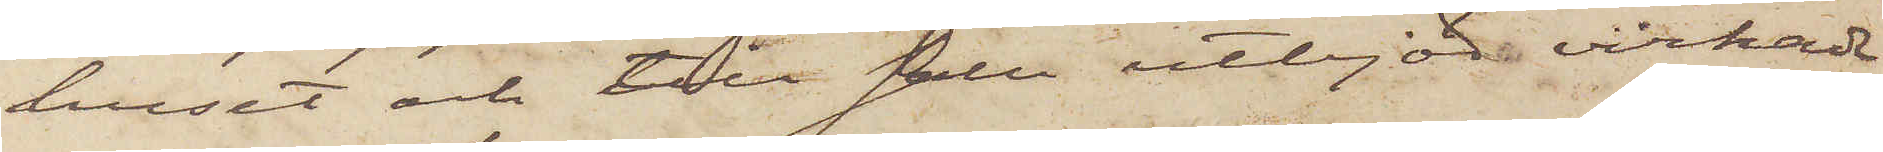huset och till salu utbjöd virkade
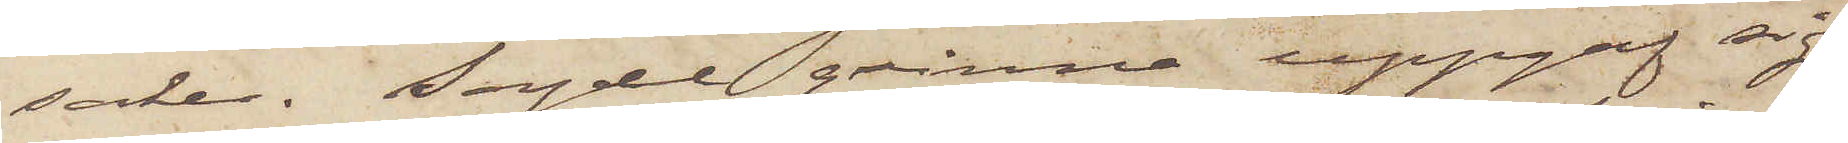saker. Sagde qvinna uppgaf sig
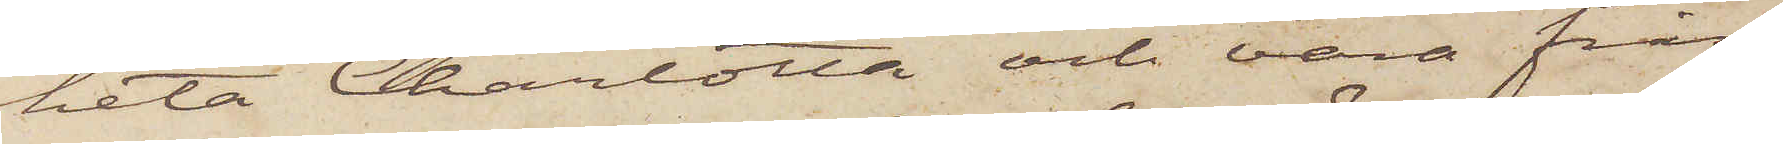heta Charlotta och vara från
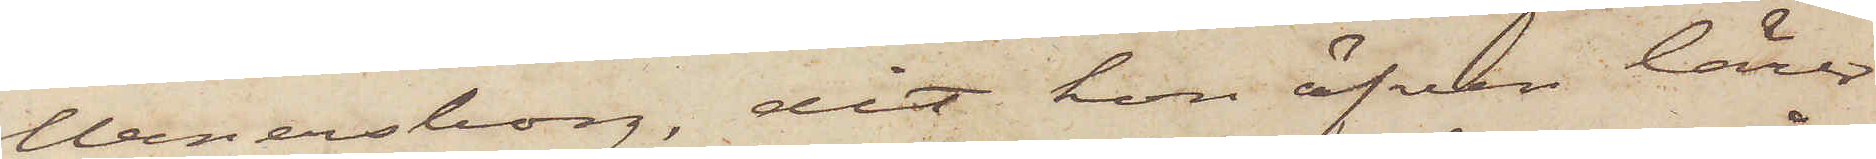Wenersborg, dit hon äfven lärer
